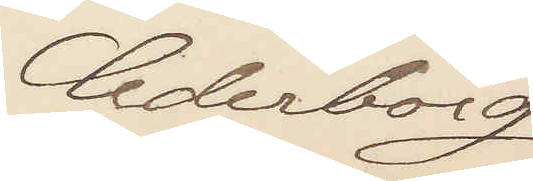Cederborg
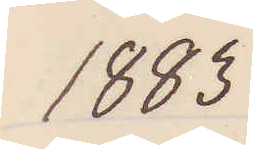1883
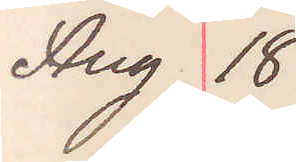Aug 18 Stadsfiskalen 
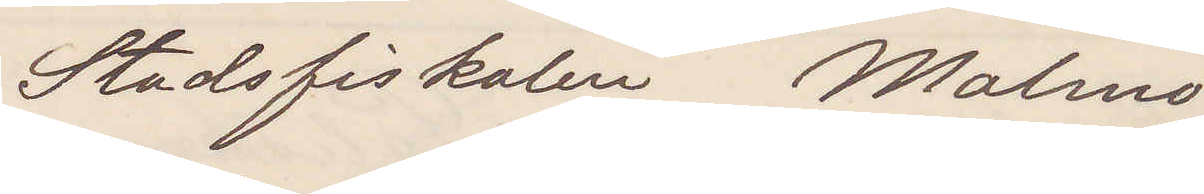Stadsfiskalen Malmö
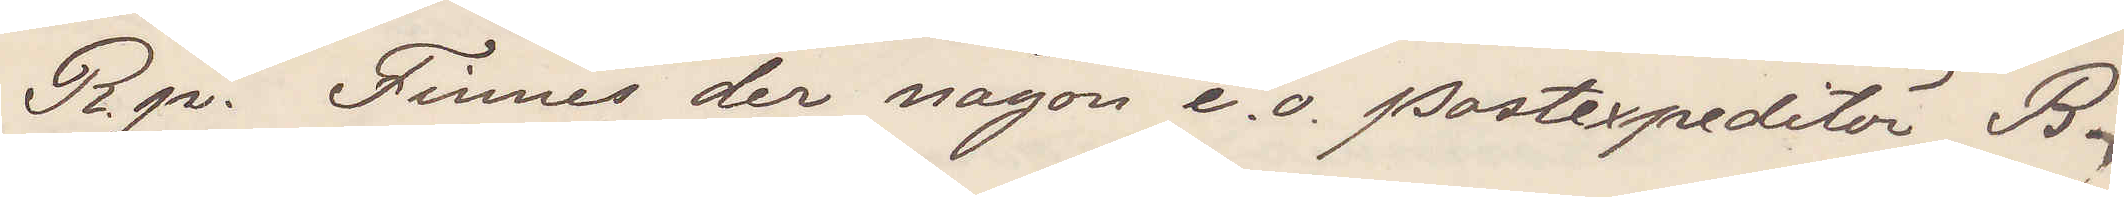R. p. Finnes der någon e. o. postexpeditör B.
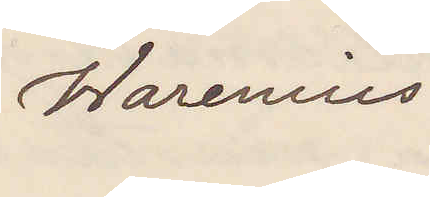Warenius
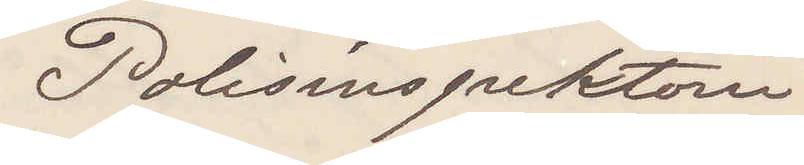Polisinspektorn
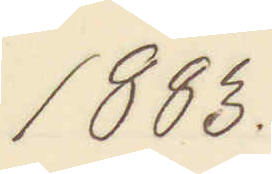1883.
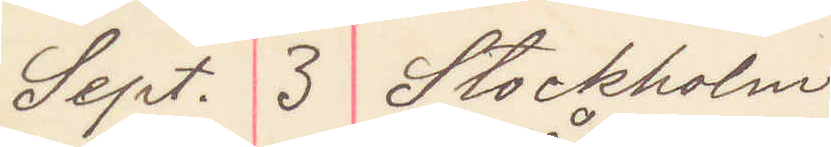Sept. 3 Stockholm
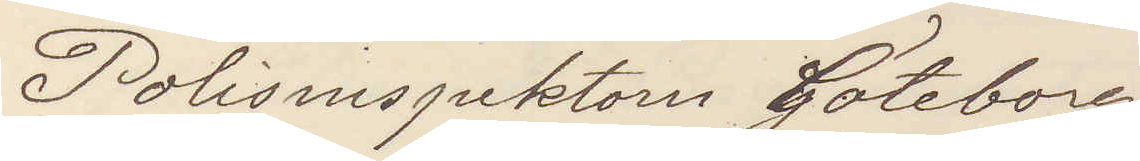Polisinspektorn Göteborg
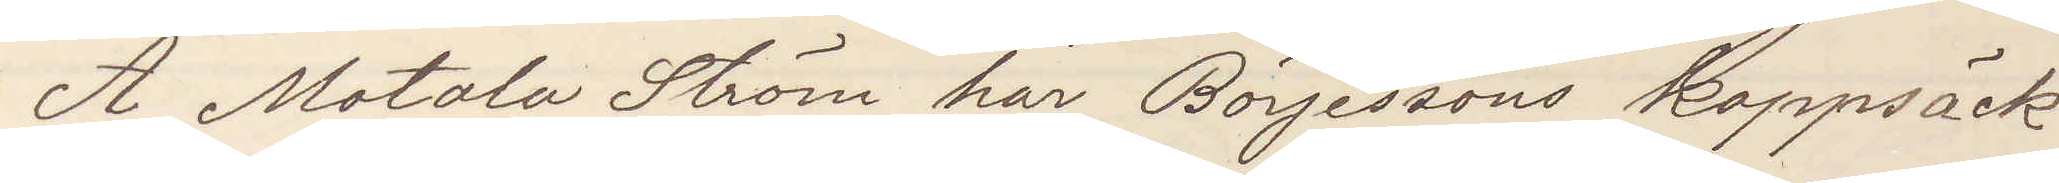Å Motala Ström har Börjessons kappsäck
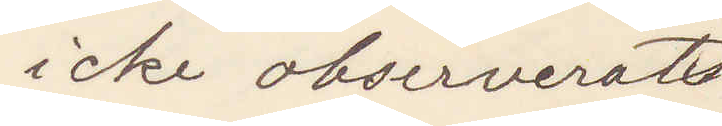icke observerats
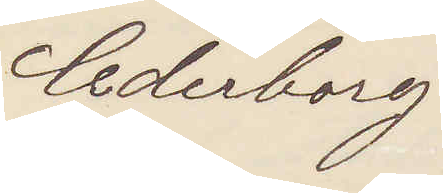Cederborg
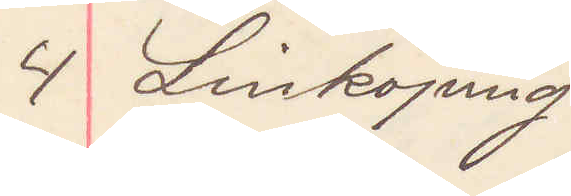4 Linköping
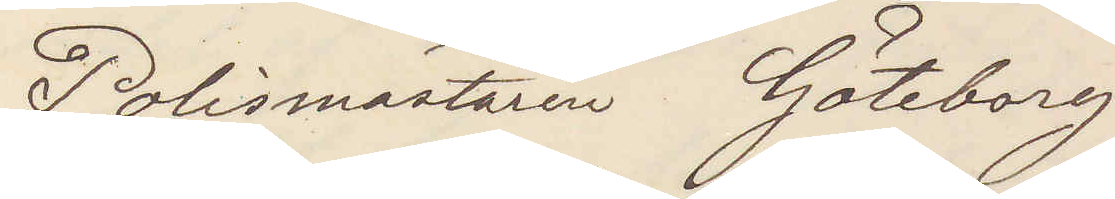Polismästaren Göteborg
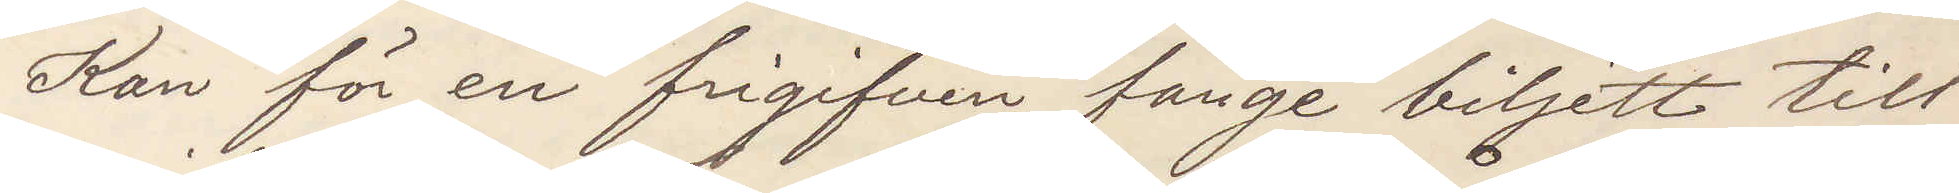Kan för en frigifven fånge biljett till
